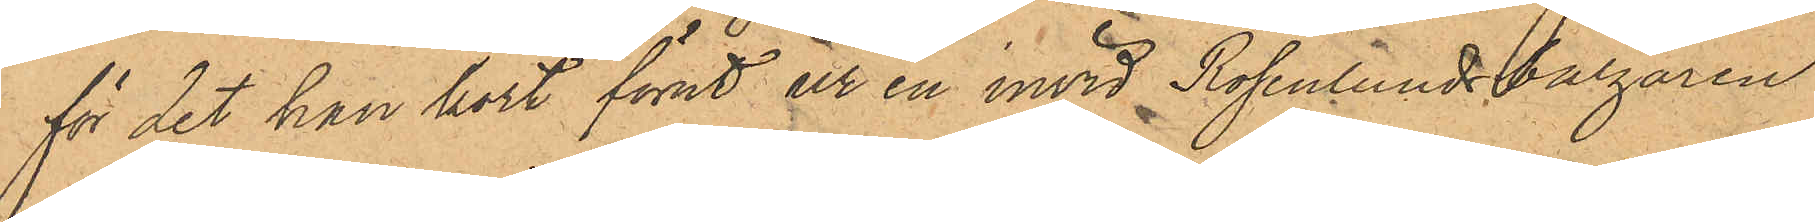för det han kort förut ur en invid Rosenlundsbazaren
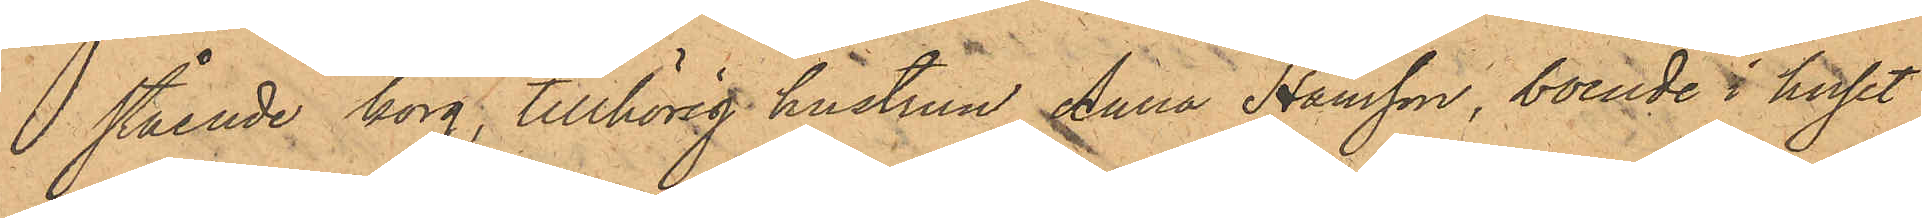stående korg, tillhörig hustrun Anna Hansson, boende i huset
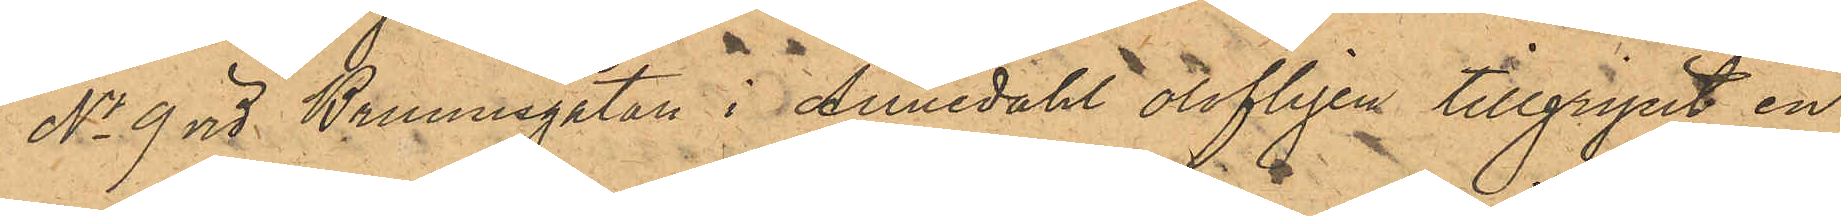No 9 vid Brunnsgatan i Annedahl olofligen tillgripit en
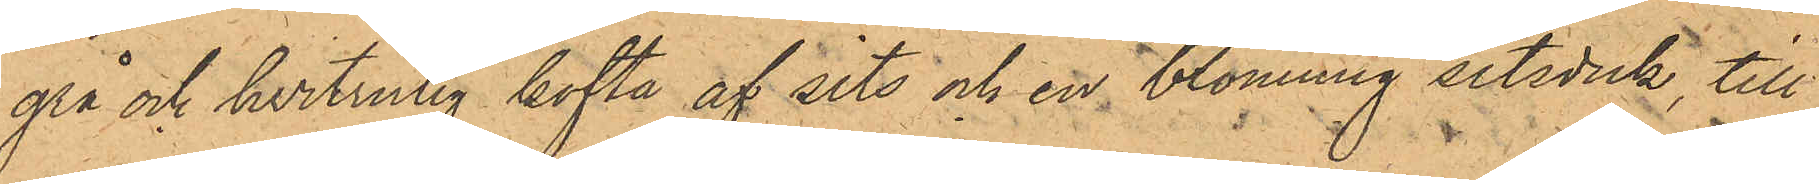grå och hvitrutig kofta af sits och en blommig sitsduk, till¬
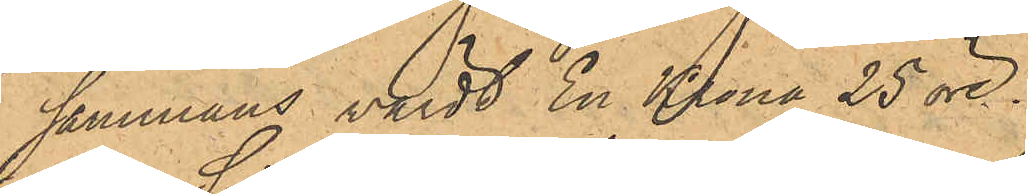sammans värdt En Krona 25 öre.
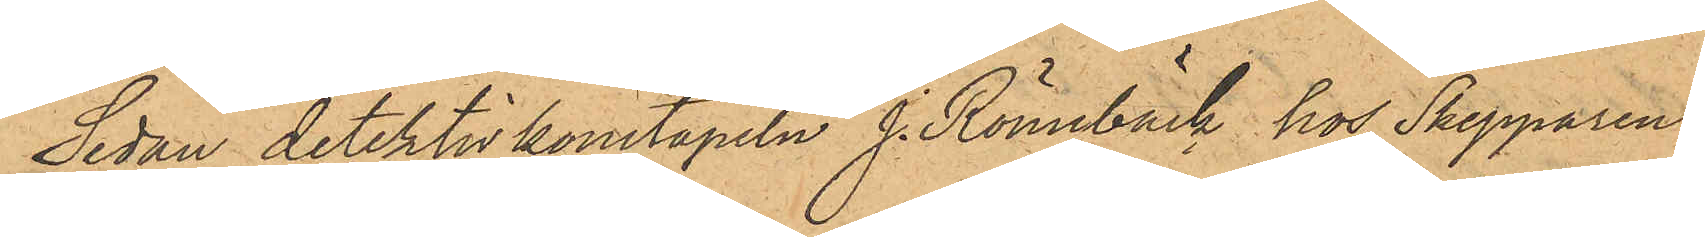Sedan detektivkonstapeln J. Rönnbäck hos Skepparen
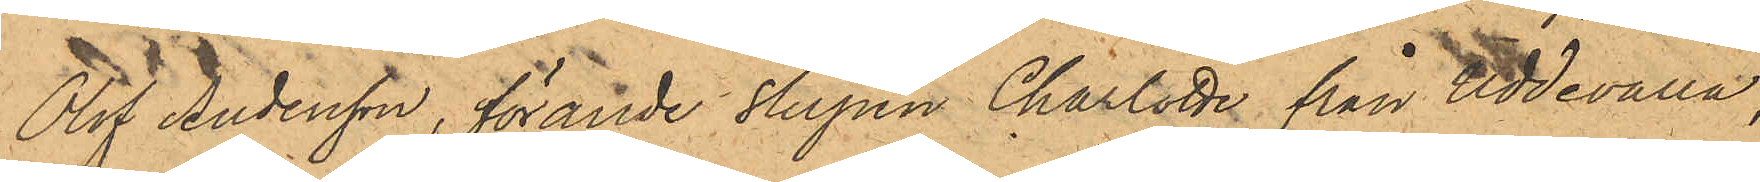Olof Andersson, förande Slupen Charlotte från Uddevalla,
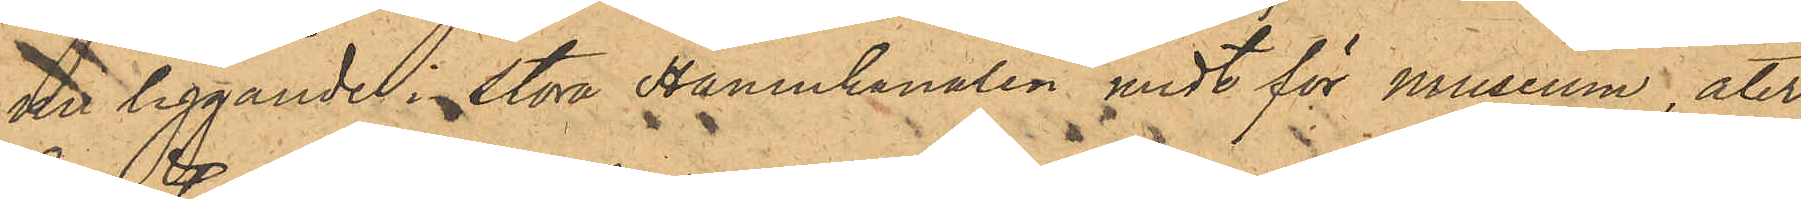nu liggande i Stora Hamnkanalen midt för museum, åter¬
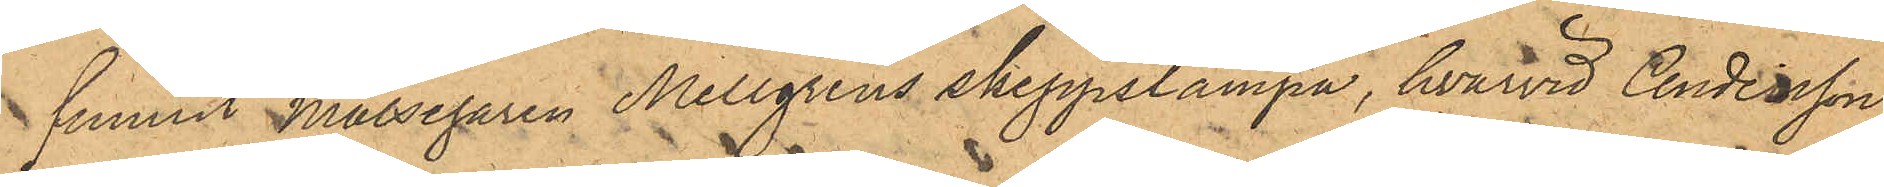funnit Målsegaren Mellgrens skeppslampa, hvarvid Andersson
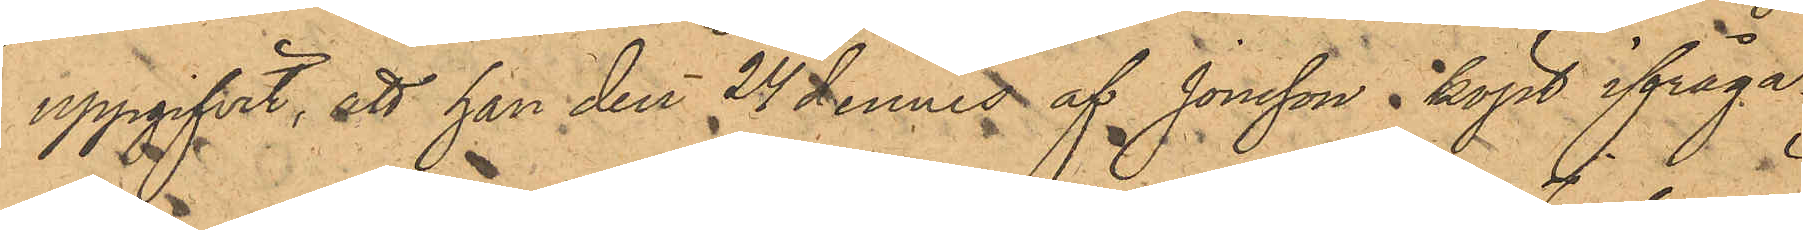uppgifvit, att han den 24 dennes af Jonsson i köpt ifråga¬
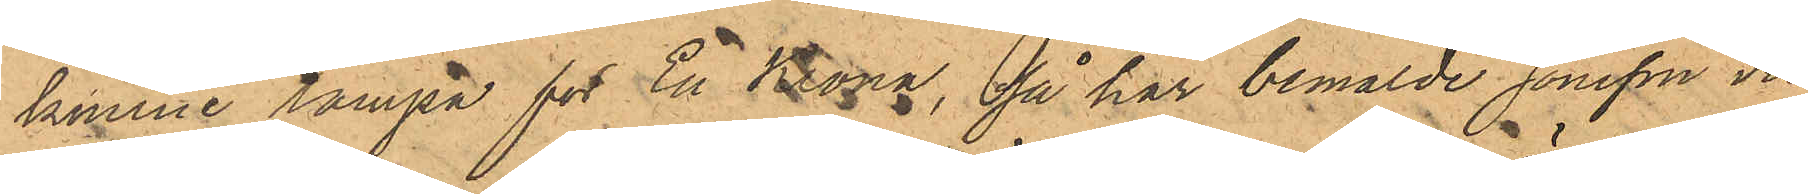komne lampa för En Krona, så har bemälde Jonsson vid
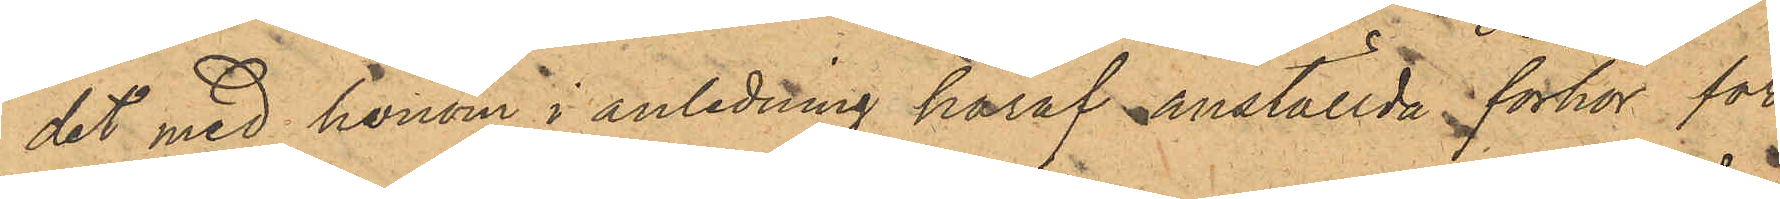det med honom i anledning häraf anställda förhör för¬
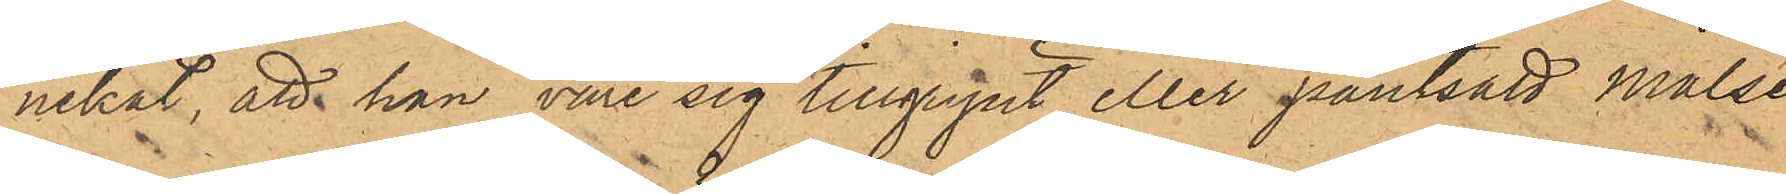nekat, att han vore sig tillgripit eller pantsatt målse¬
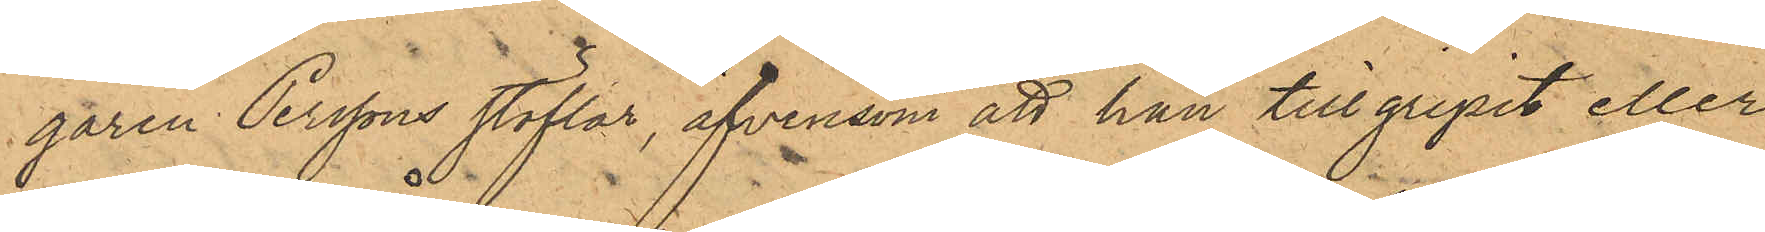garen Perssons stöflar, äfvensom att han tillgripit eller
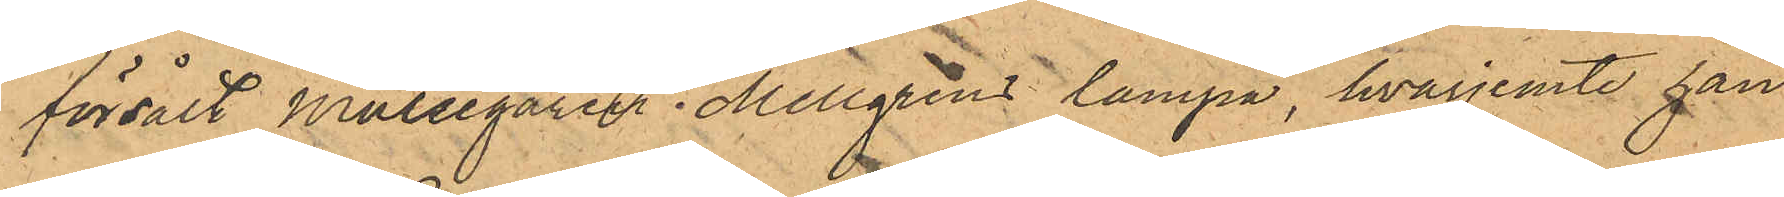försålt Målsegaren Mellgrens lampa, hvarjemte han
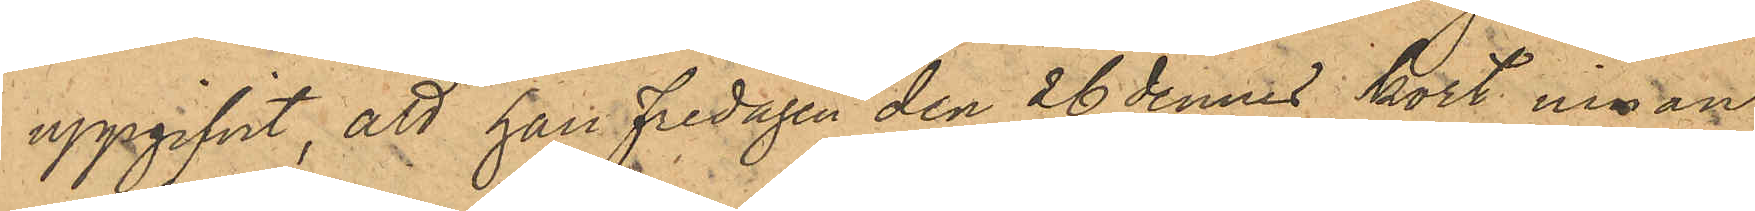uppgifvit, att han Fredagen den 26 dennes kort innan
